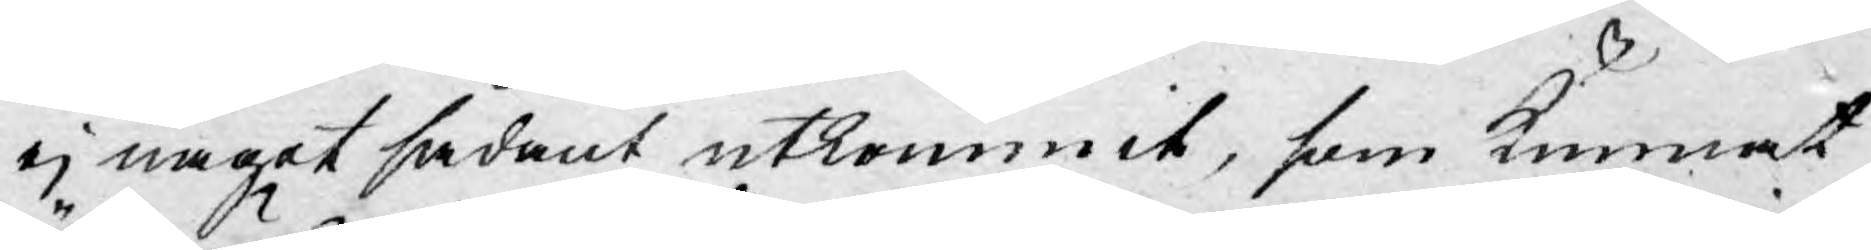ej något sådant utkommit, som kunnat
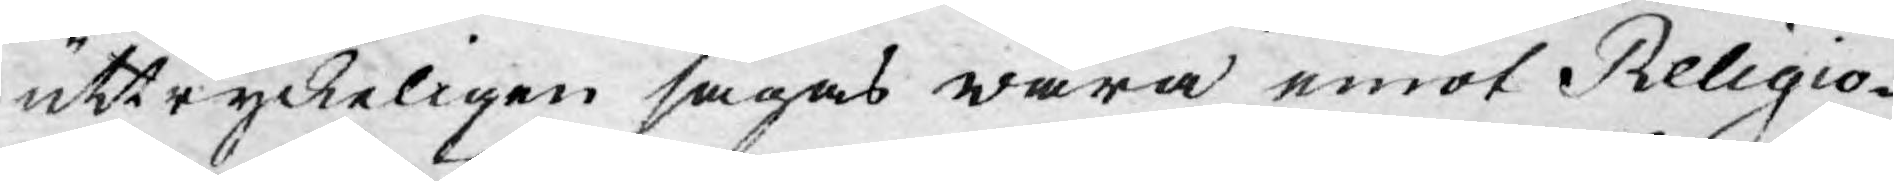uttryckeligen sägas wara emot Religio-
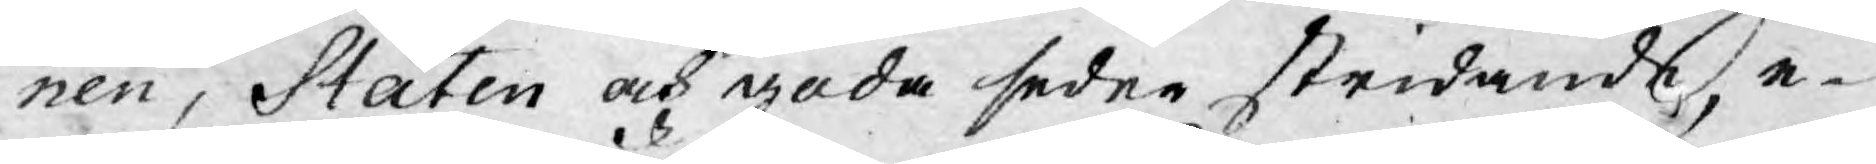nen, Staten och goda seder stridande, e¬
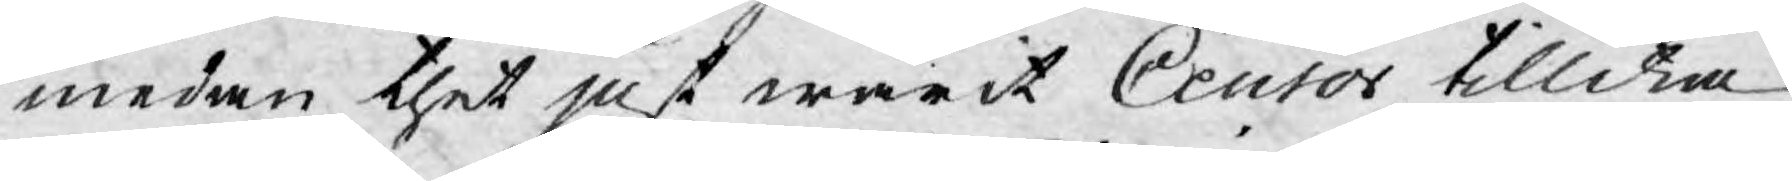medan thet just warit Censor tillika
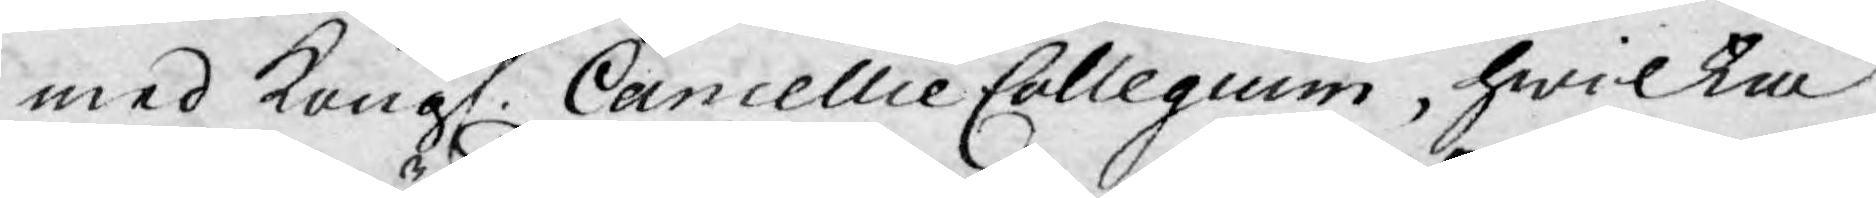med Kongl. Cancellie Collegium, hwilka
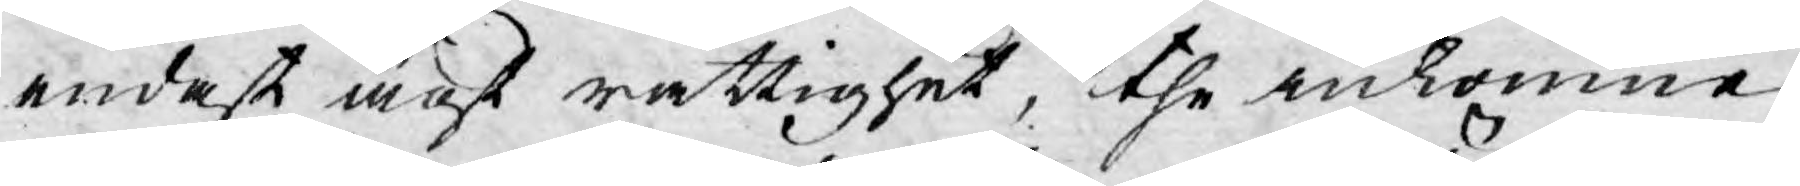endast ägt rättighet, the inkomne
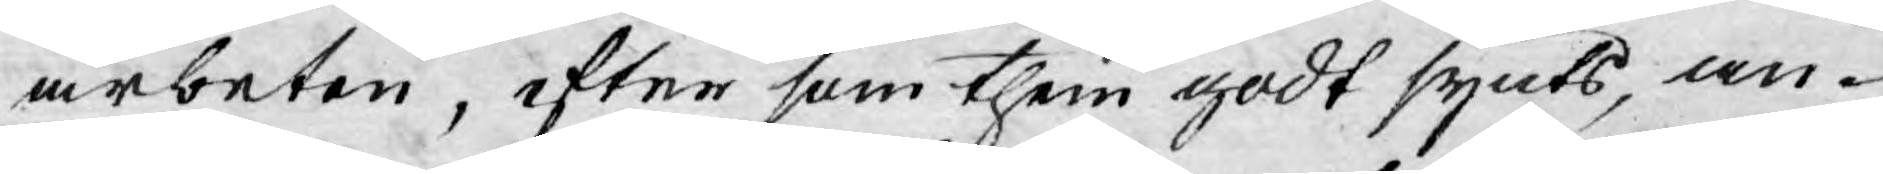arbeten, efter som them godt synts, an¬
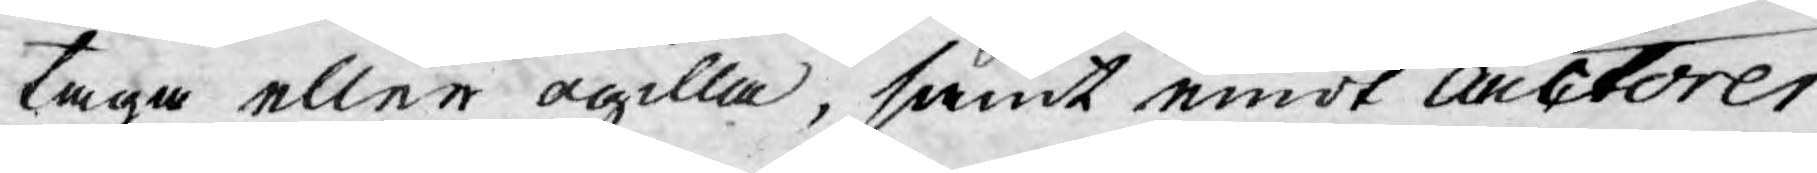taga eller ogilla, samt emot Auctorer
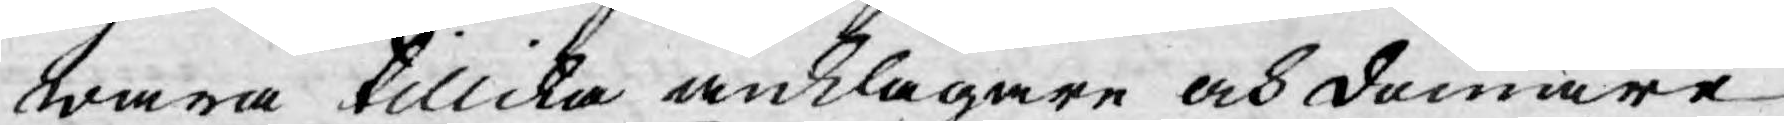wara tillika anklagare och domare,
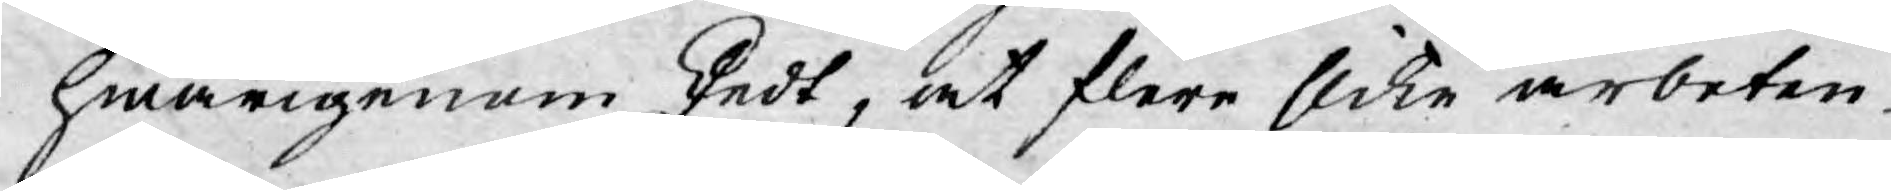hwarigenom skedt, at flere slike arbeten
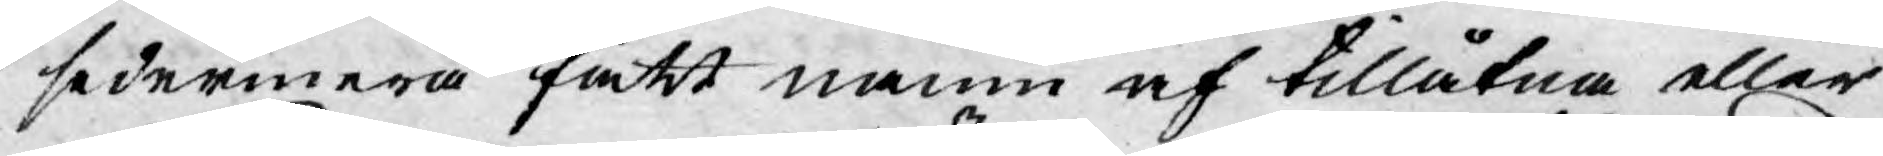sedermera fått namn af tillåtna eller
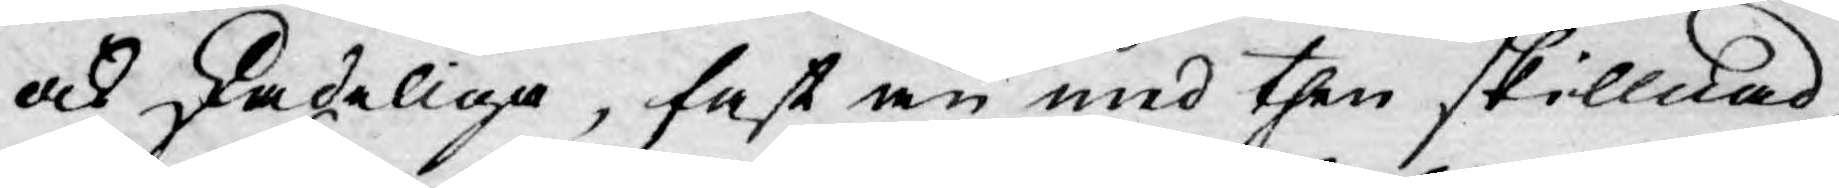och skadeliga, fast än med then skillnad,
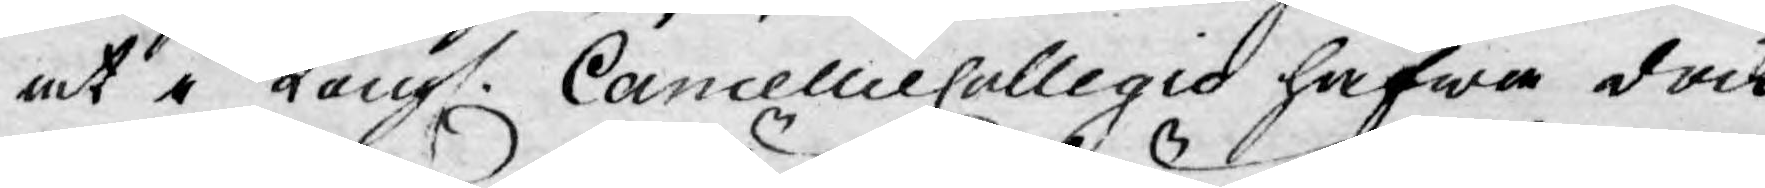at i Kongl. Cancellie Collegio hafwa dock
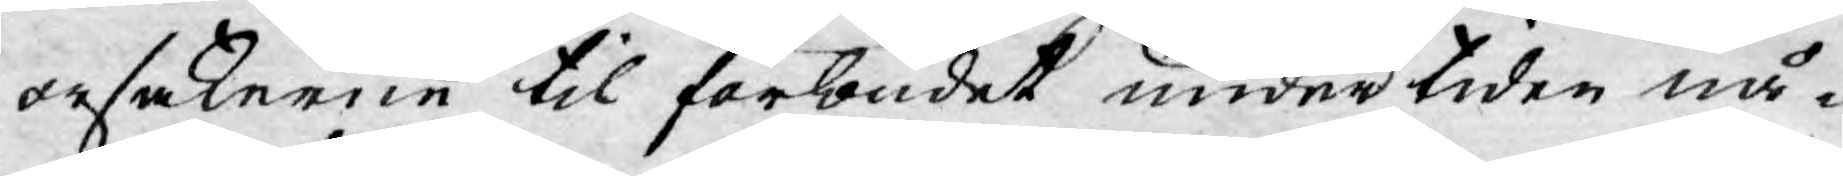orsakerne til förbudet undertiden nå¬
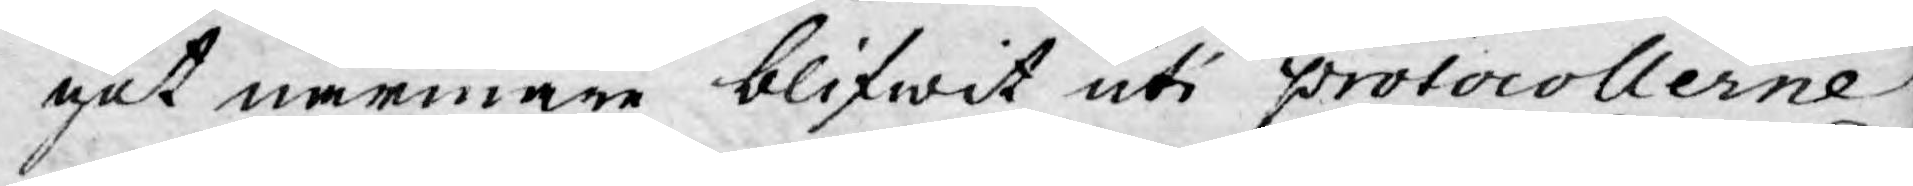got närmare blifwit uti protocollerne
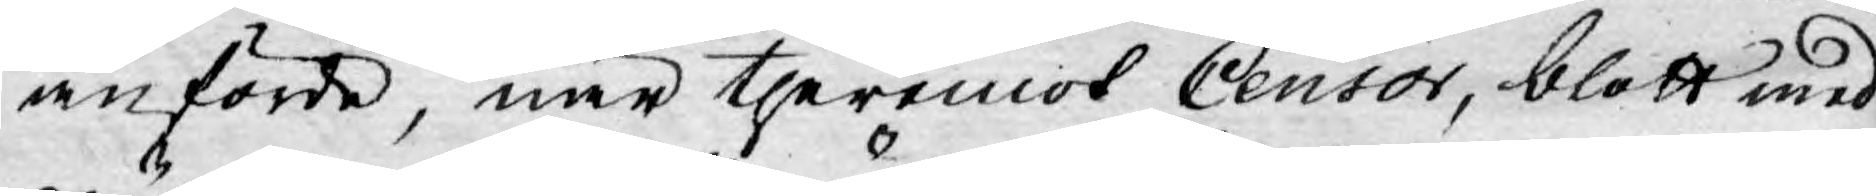anförde, när theremot Censor, blott med
